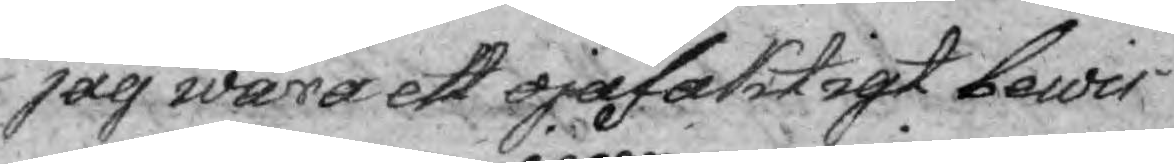jag wara ett ojäfaktigt bewis
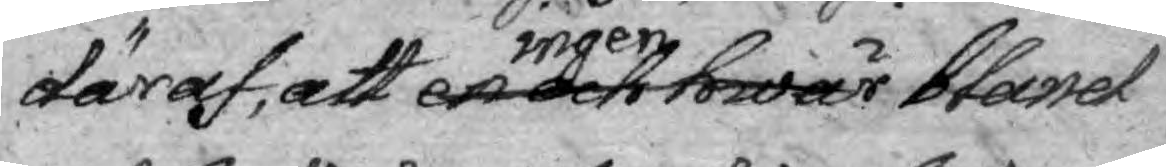däraf, att en och hwar ingen bland
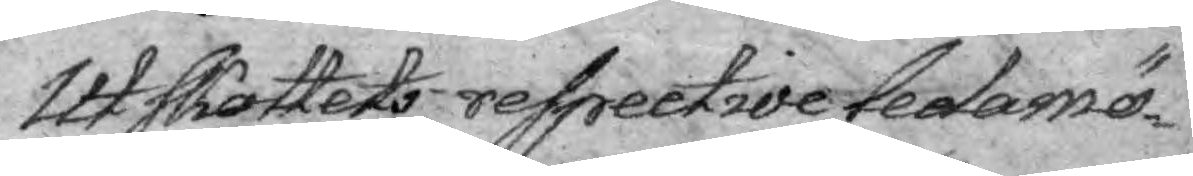Utskottets respective ledamö¬
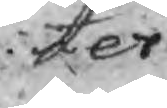ter finner
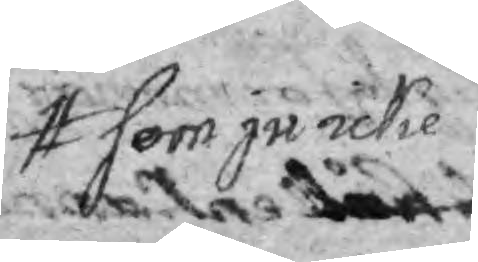som ju icke
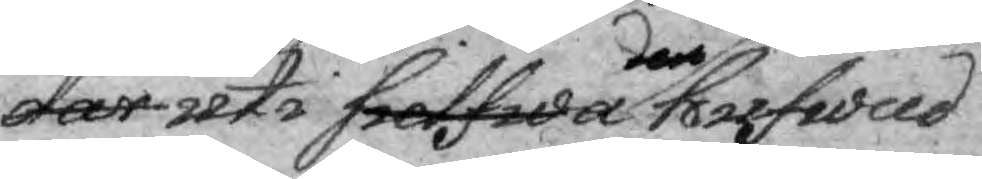där uti sielfwa den hufwad
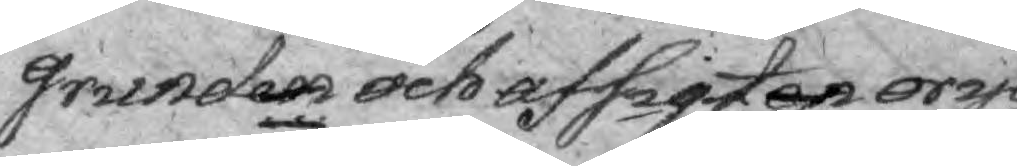grunden och afsigten orygge¬
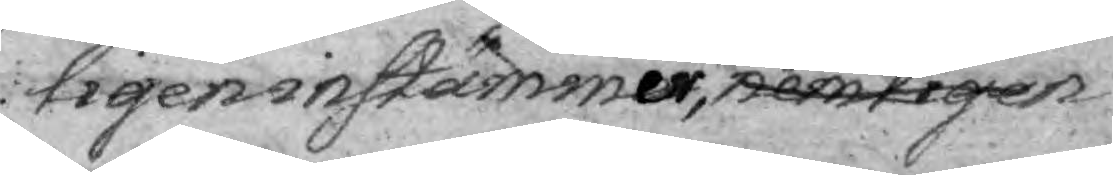ligen instämmer, nemligen
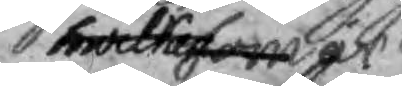hwilka som är
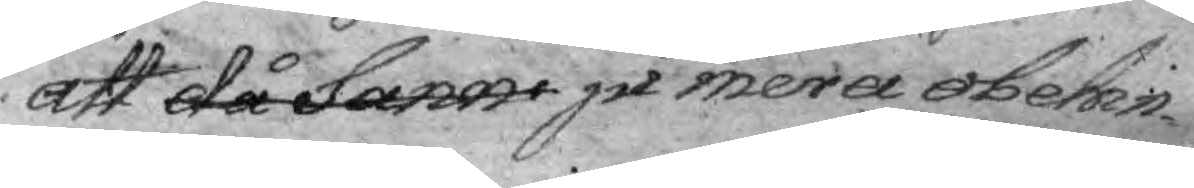att då sann ju mera obehin¬
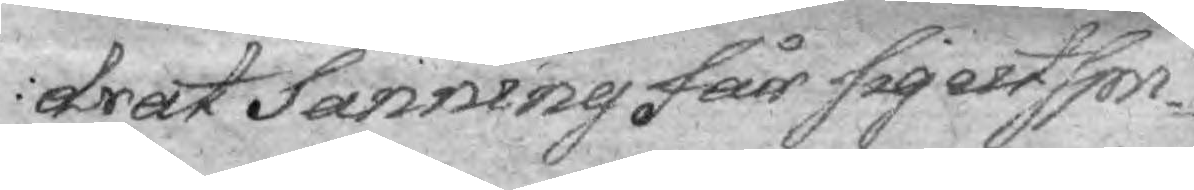drat Sanning får sig utspri¬
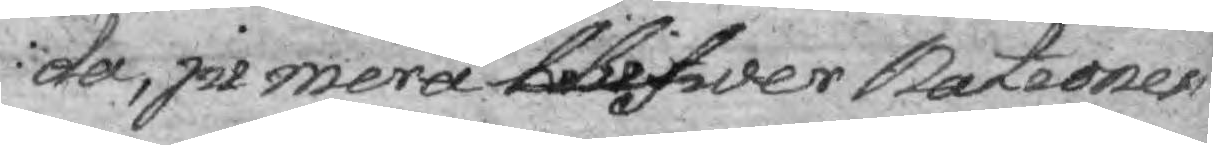da, ju mera blifwer Nationen
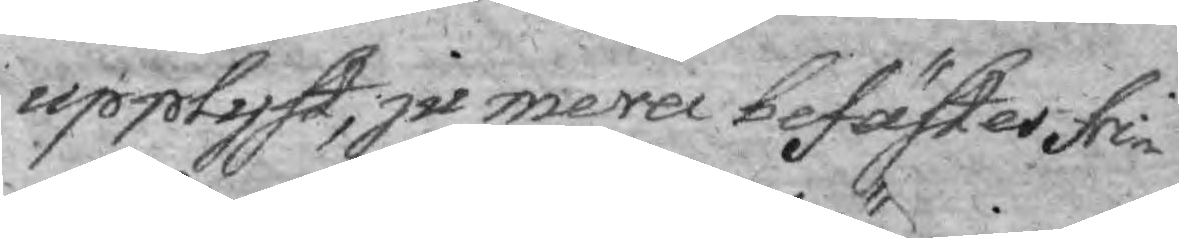upplyft, ju mera befäster fri¬
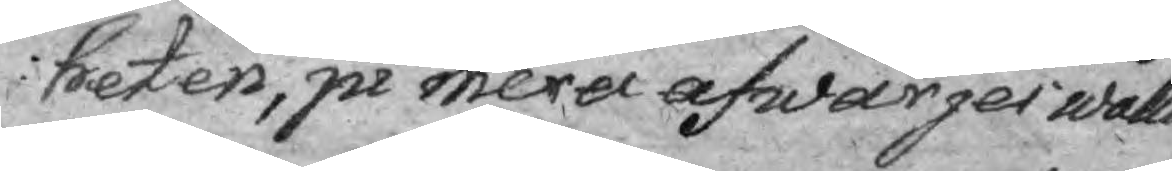heten, ju mera afwärges wålld
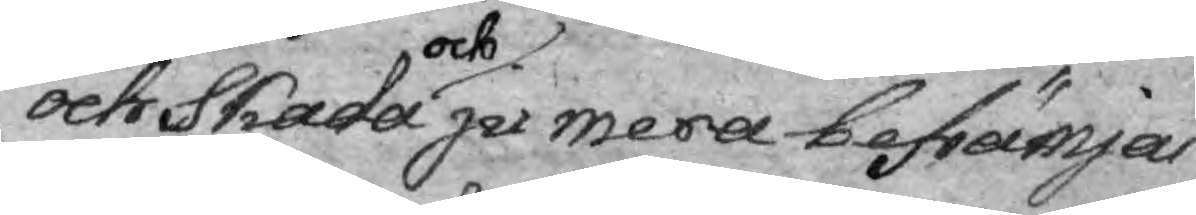och Skada och ju mera befrämjas
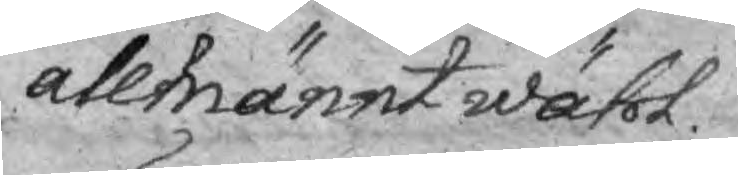allmännt wähl.
